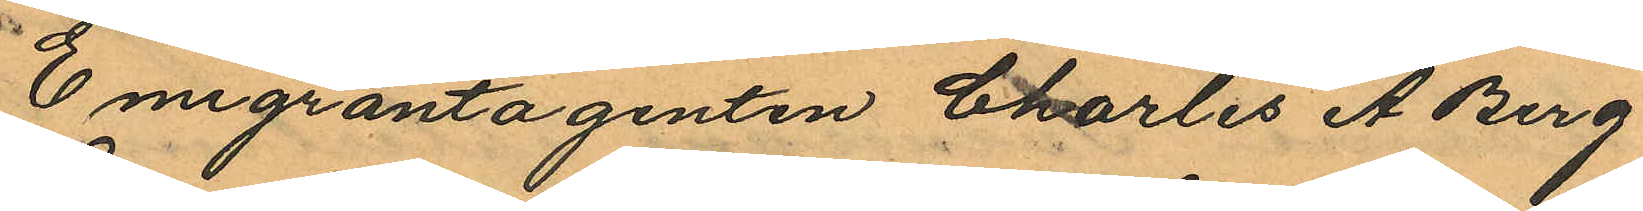Emigrantagenten Charles A. Berg¬
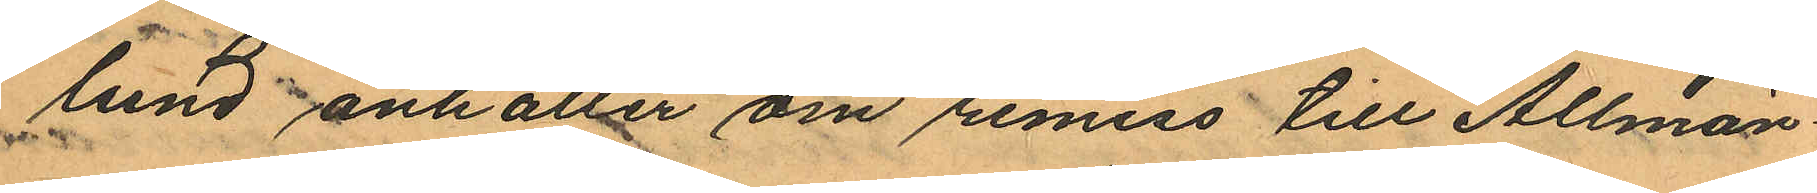lund anhåller om remiss till Allmän¬
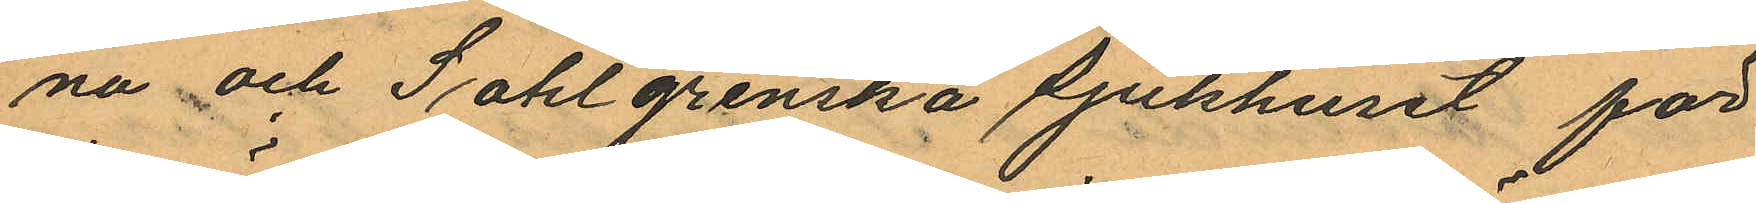na och Sahlgrenska sjukhuset för
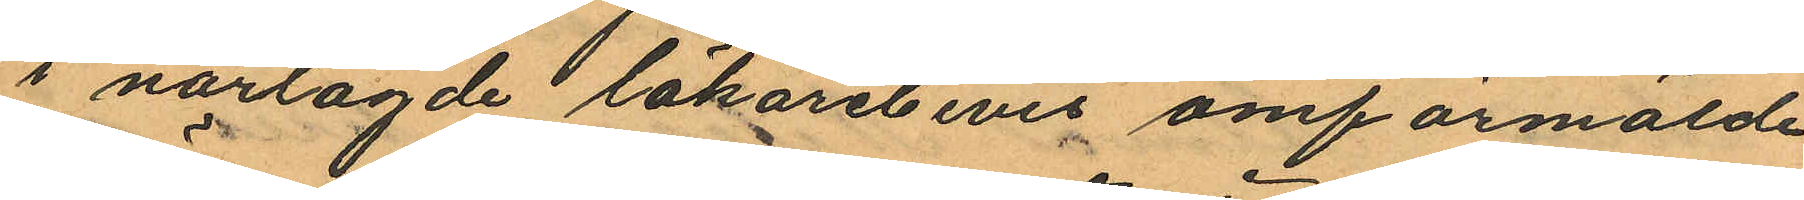i närlagde läkarebevis omförmälde
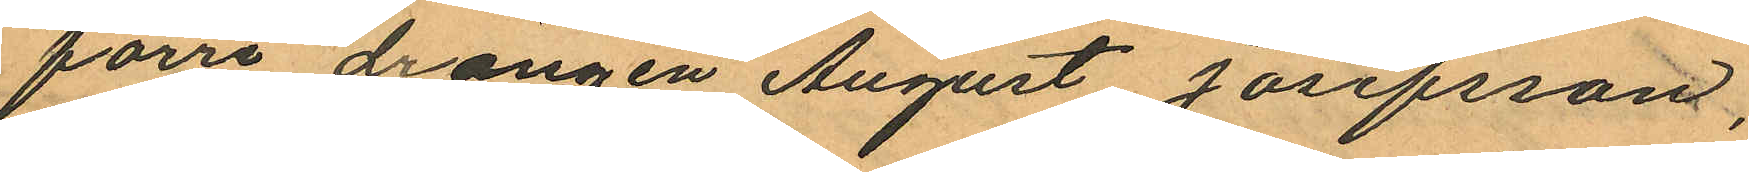förre drängen August Josefsson,
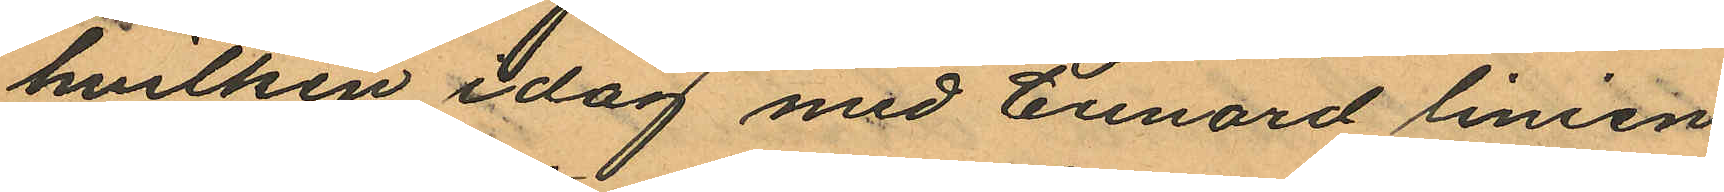hvilken idag med Cunard linien
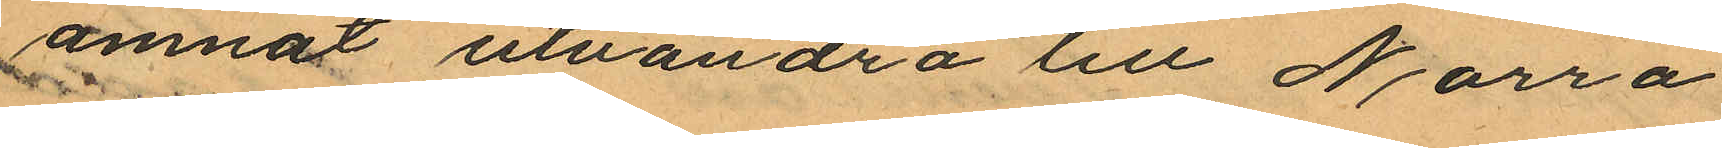ämnat utvandra till Norra
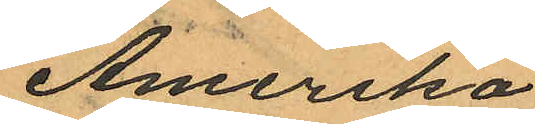Amerika
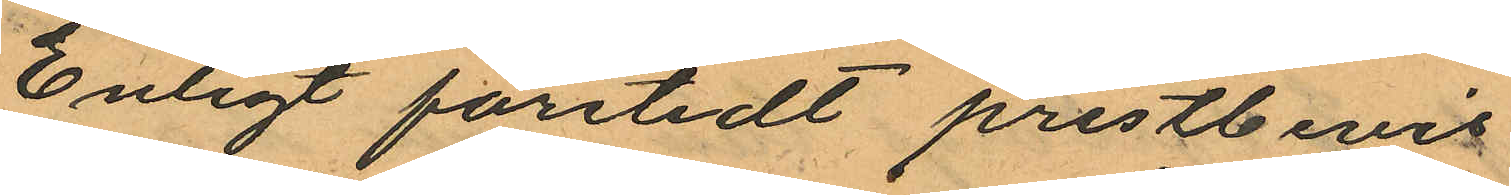Enligt företedt prestbevis
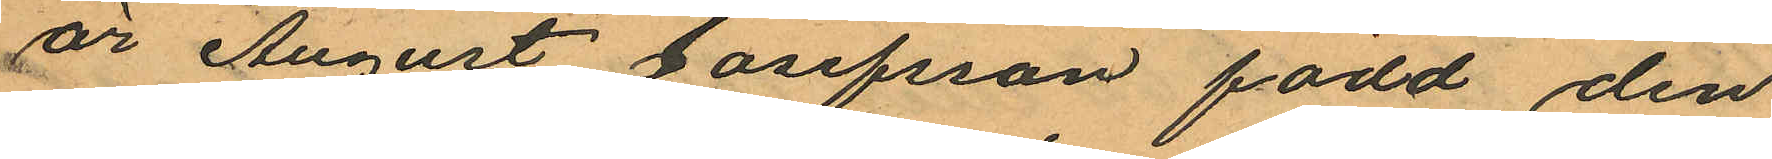är August Josefsson född den
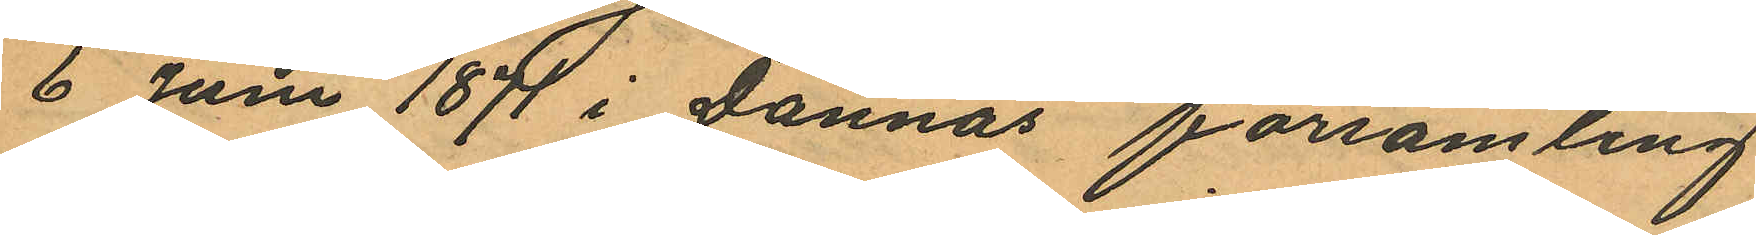6 Juni 1871 i Dannäs församling
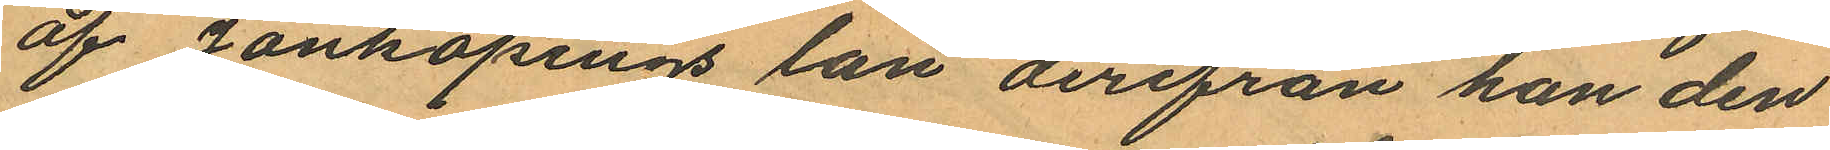af Jönköpings län derifrån han den
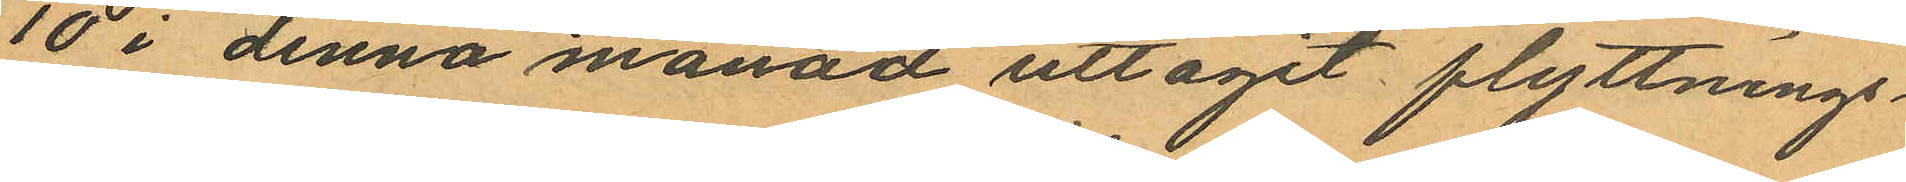10 i denna månad uttagit flyttnings¬
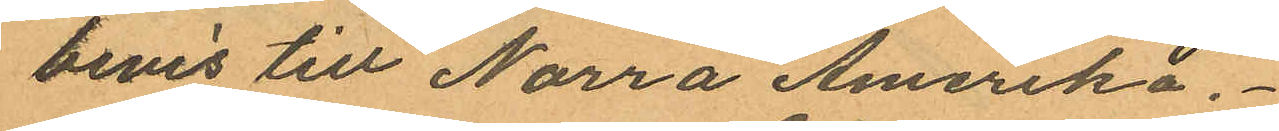bevis till Norra Amerika.
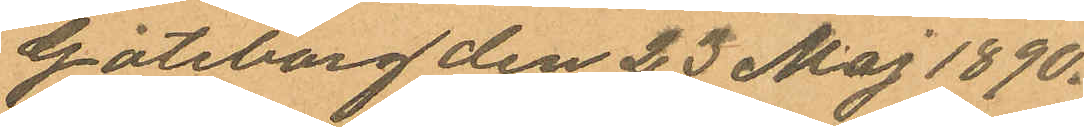Göteborg den 23 Maj 1890.
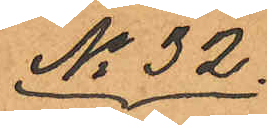No 32.
